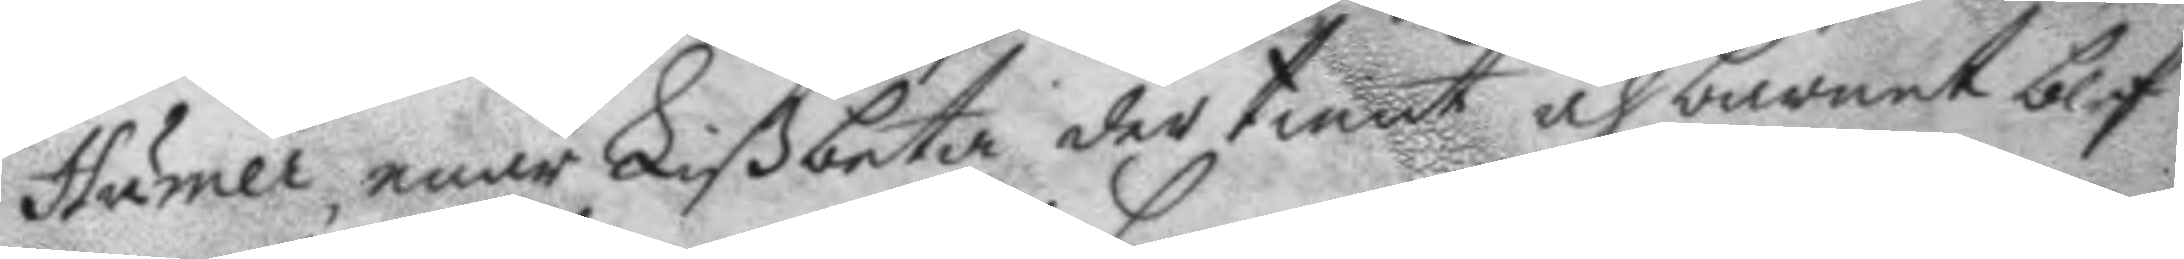Humer, enär Lißbeta der tient och barnet blef
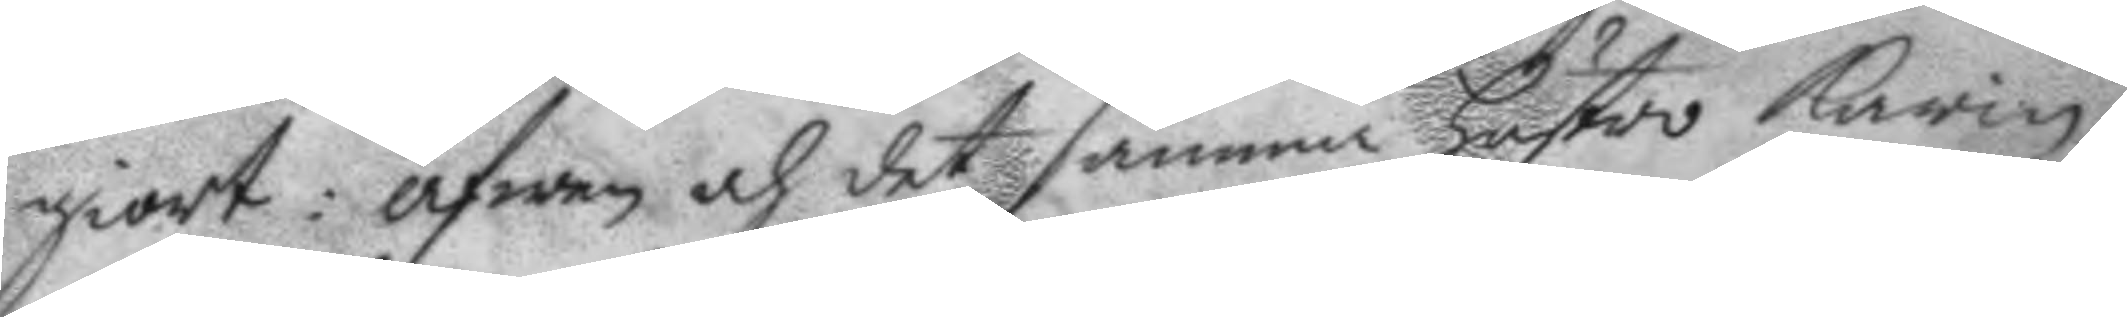giort: äfwen och det samma hustro Karin
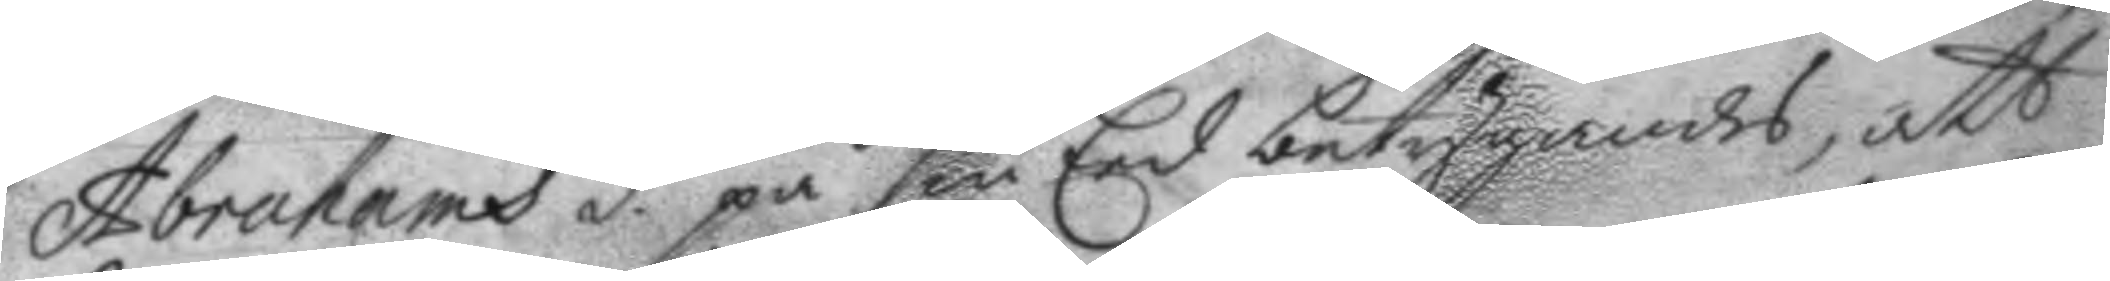Abrahams d.r på sin Eed betygandes, att
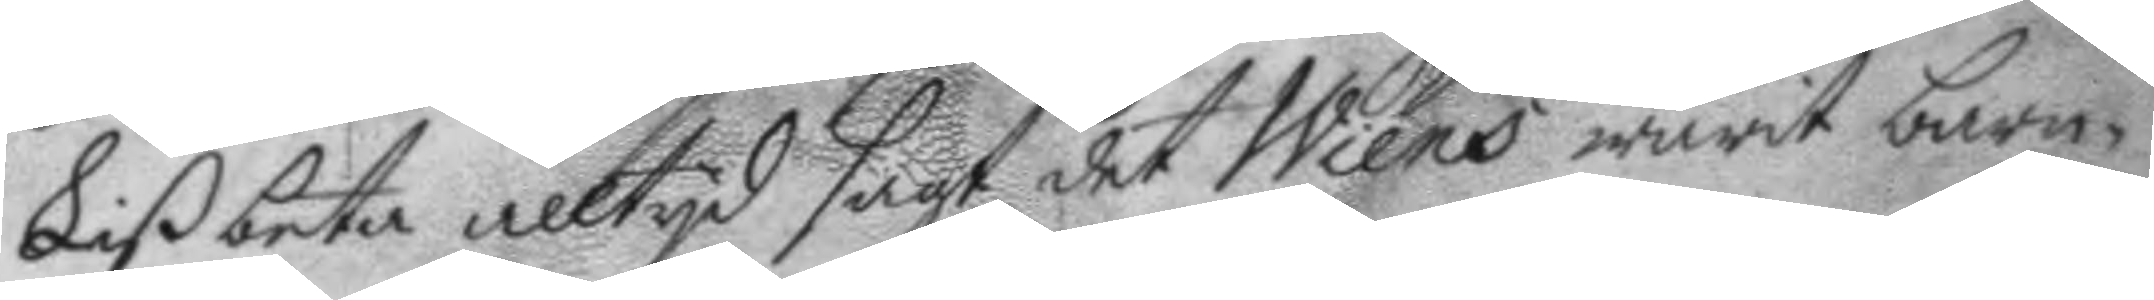Lißbeta alltyd sagt det Wiens warit barn¬
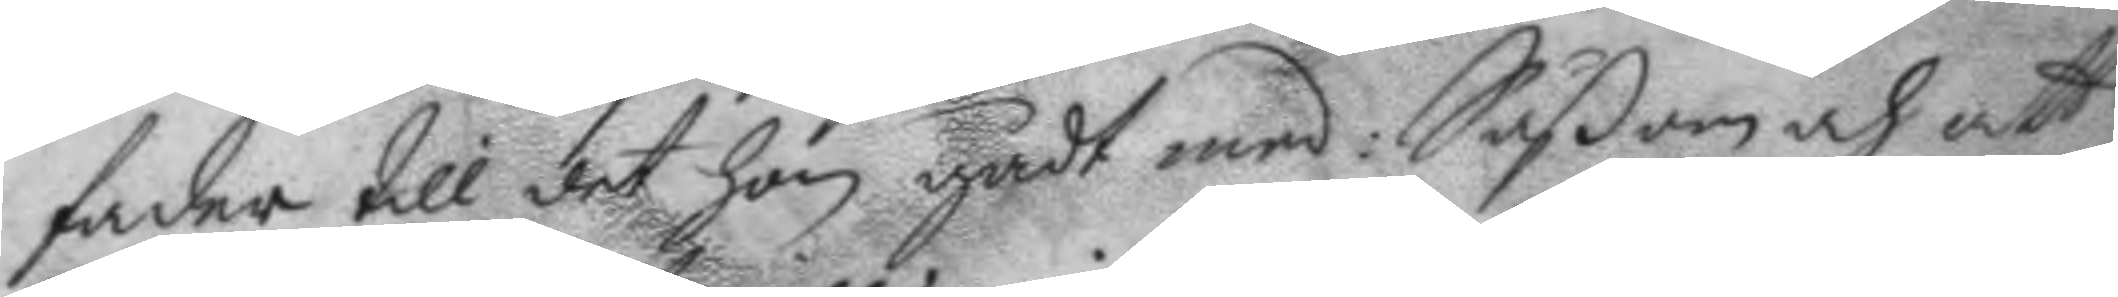fader till det hon gådt med: Såßom och att
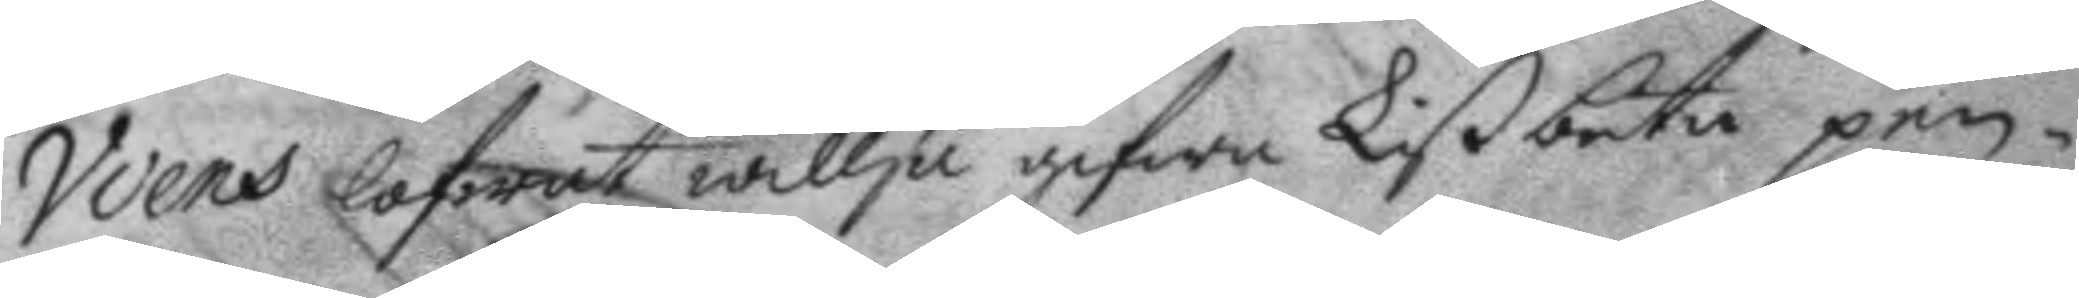Wiens lofwat willja gifwa Lißbeta pen¬
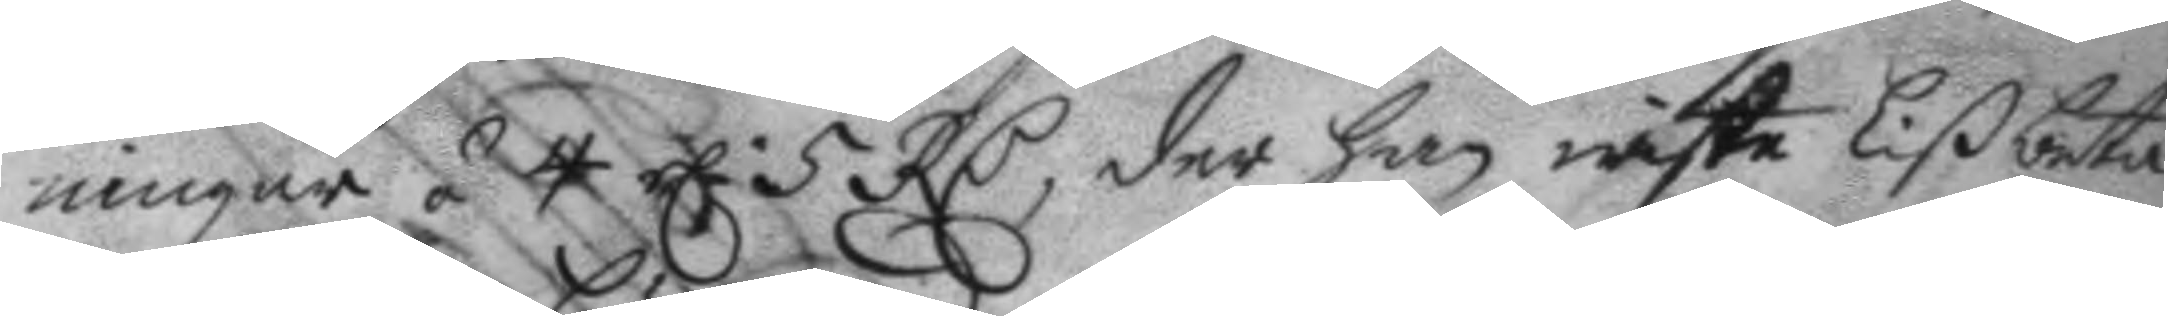ningar á 4 el. 5 RC, der han wiste Lißbeta
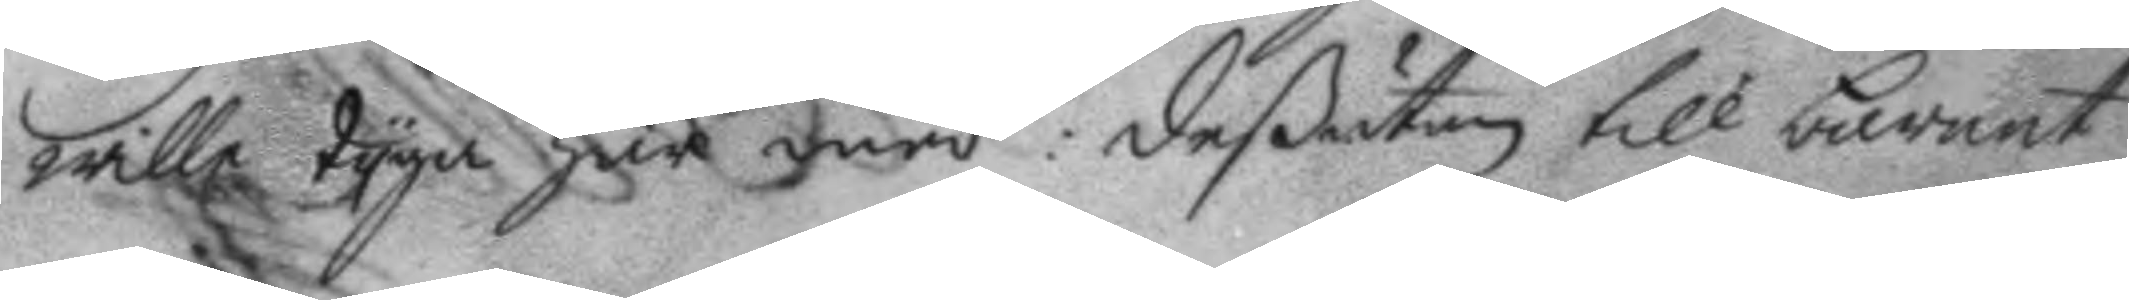wille tyga här med: deßutan till barnet
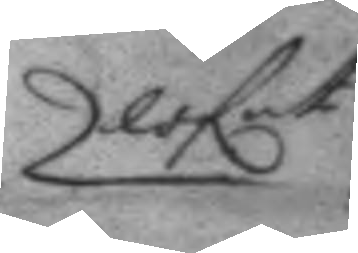lofat
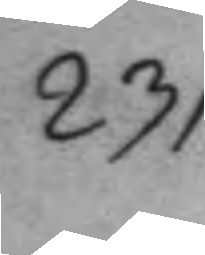231.
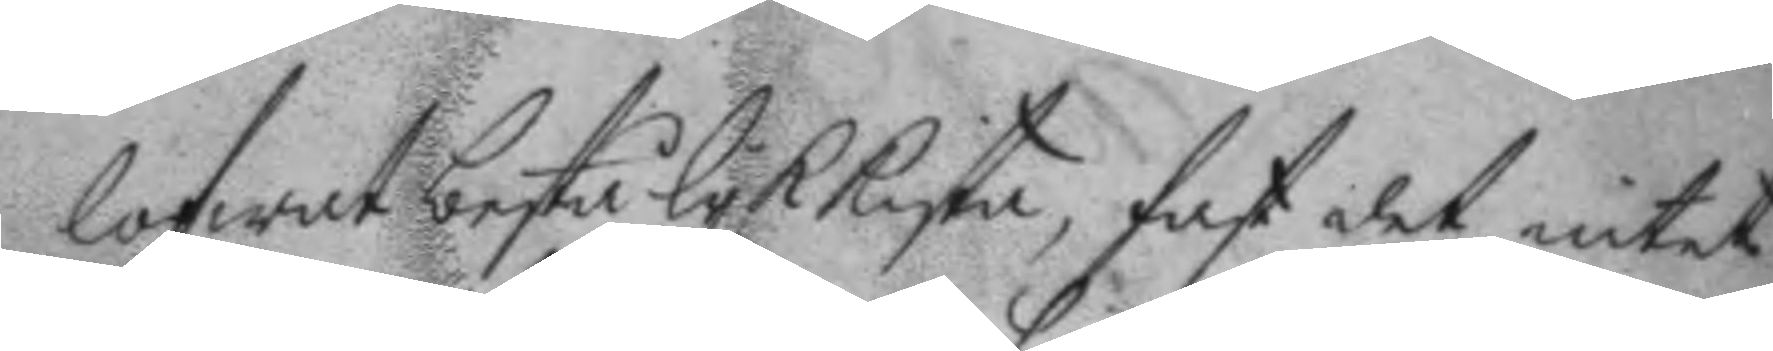lofwat bestå lyk kista, fast det intet
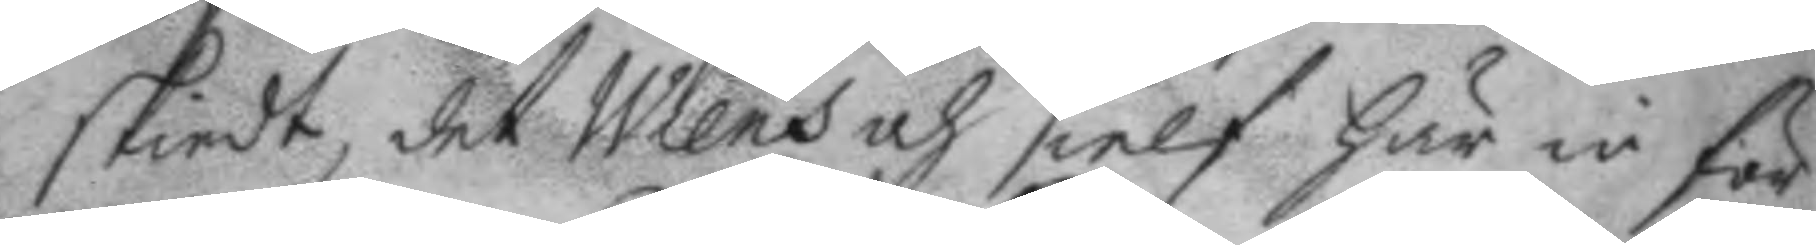skiedt, det Wiens och sielf här in för
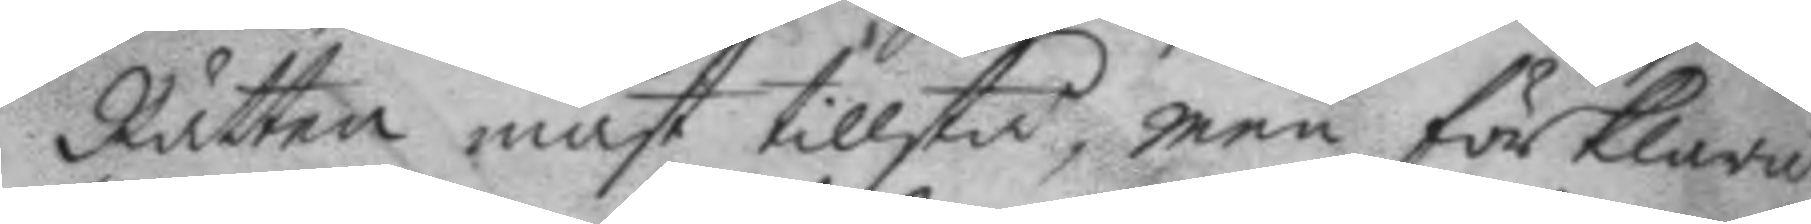Rätten måst tillstå, men förklarat
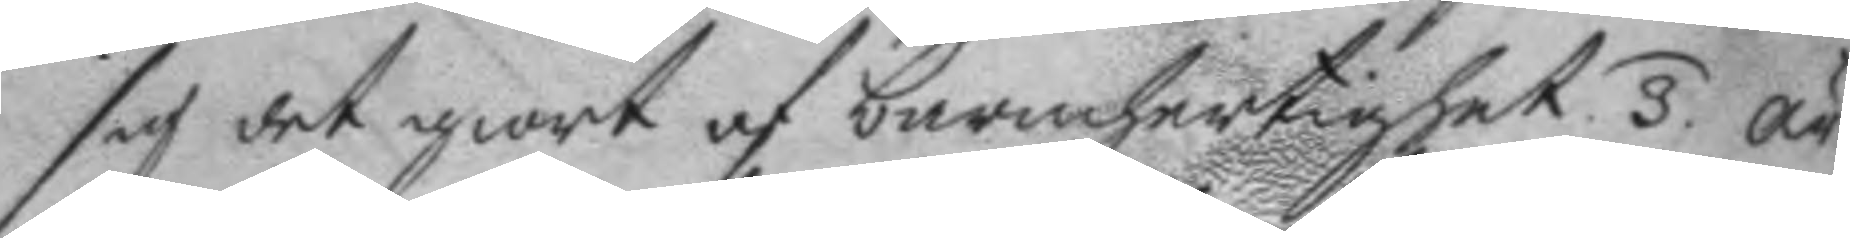sig det giort af barmhertighet. 3. är
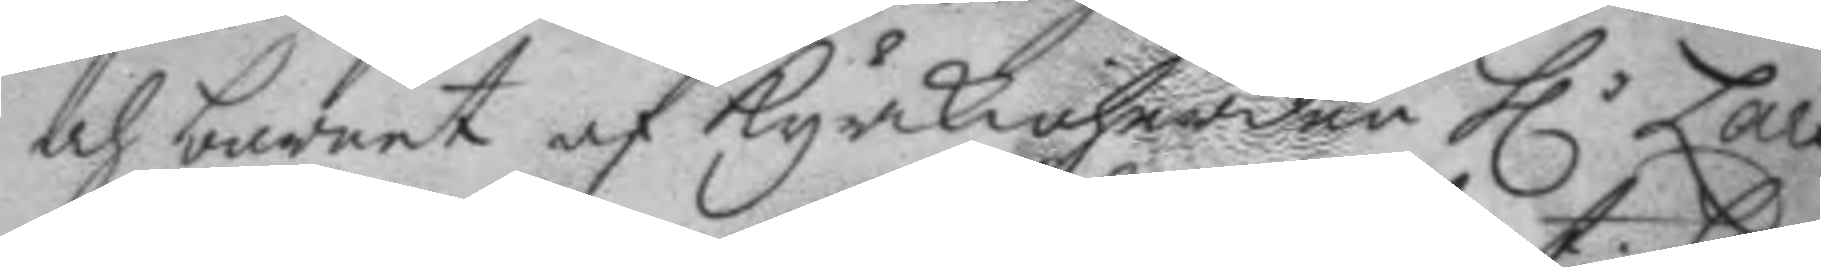och barnet af kyrkioherden h.r Lars 
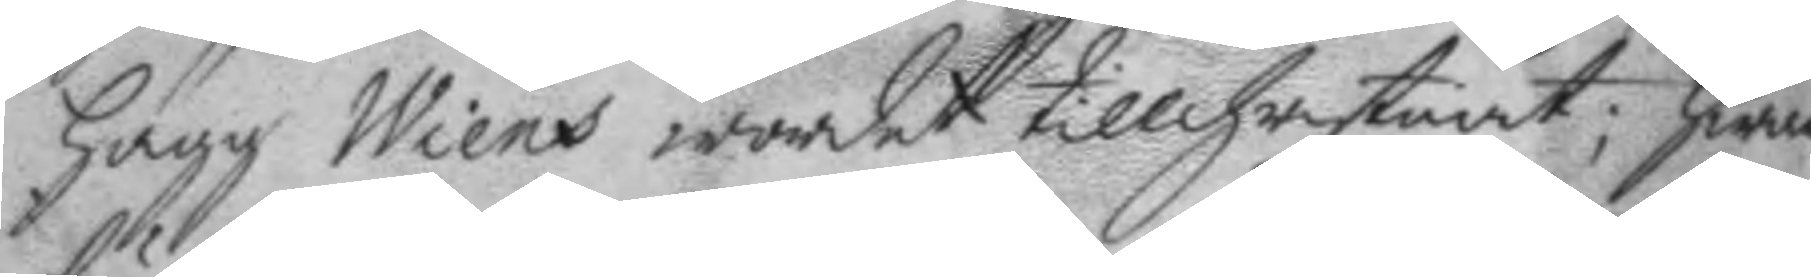Hägg Wiens wordet tillchristnat; hwar
